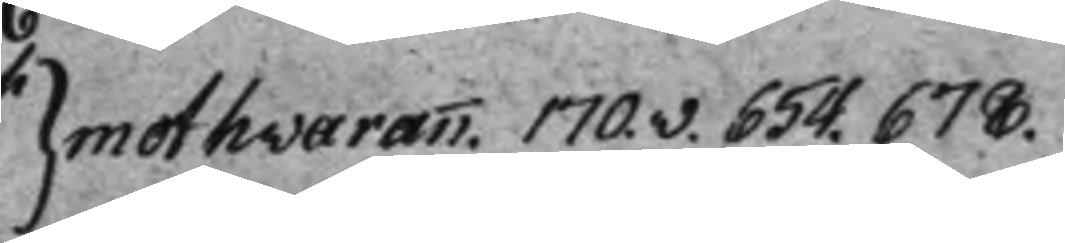} mot hvarann. 170.v. 654. 678.
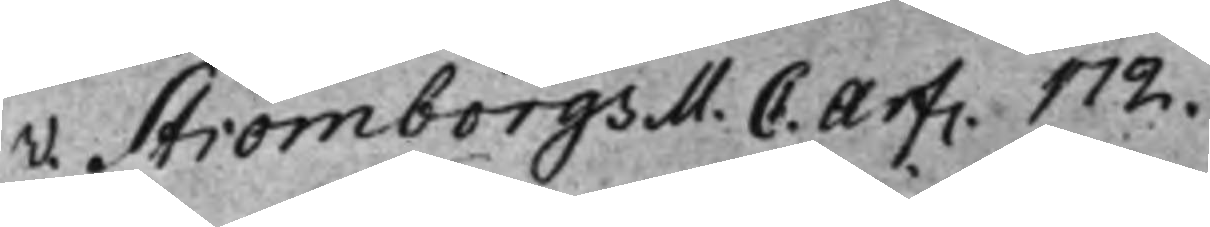v. Strömborgs M. C. Arf. 172.
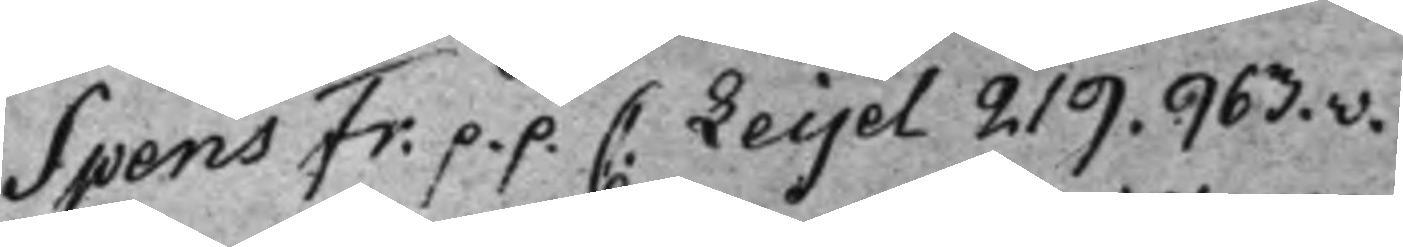Spens Fr: p.p. C. Leijel 219. 963.v.
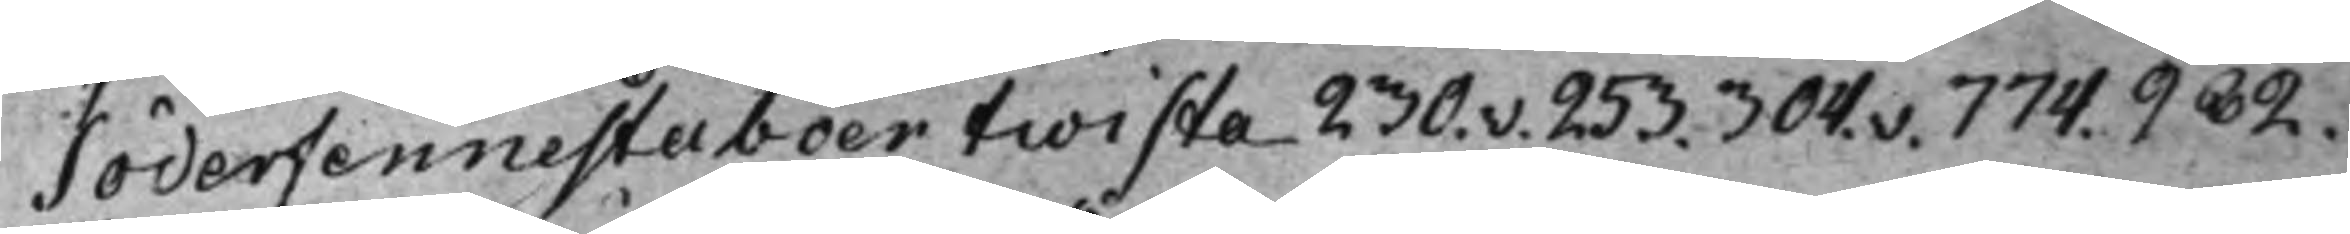Söderfennestaboer twista 230.v. 253. 304.v. 774. 982.
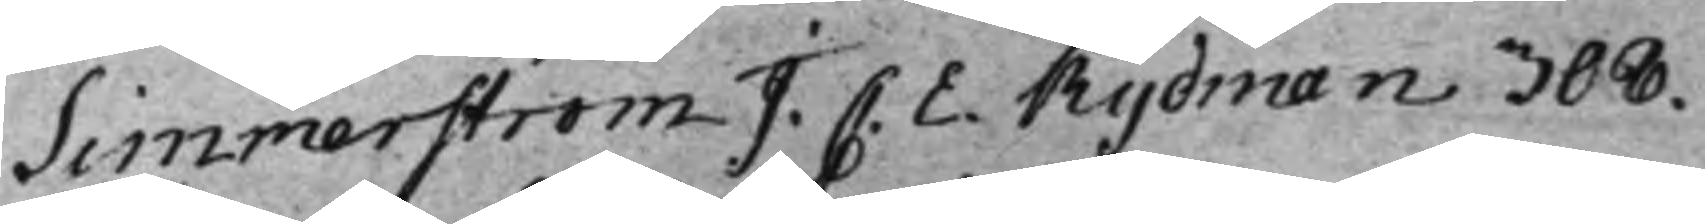Simmerström J. C. E. Rydman 308.
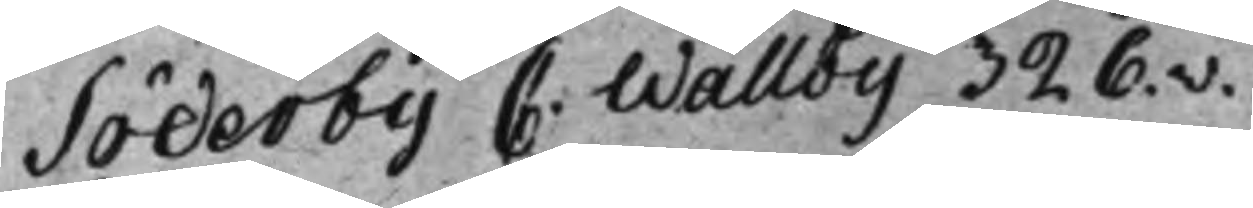Söderby C. Wallby 326.v.
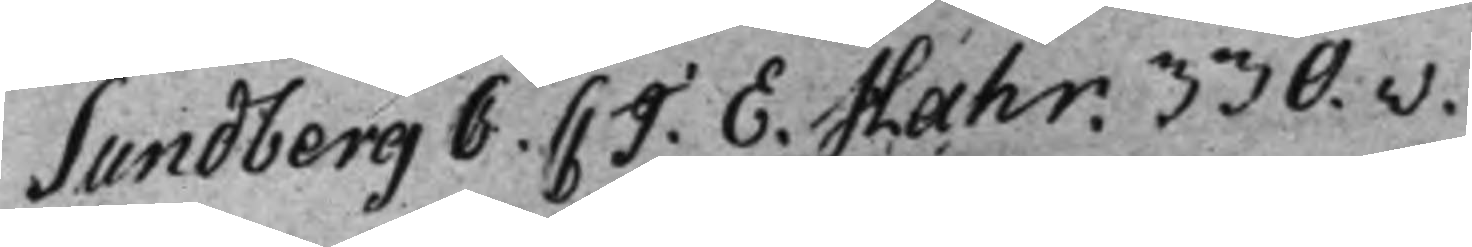Sundberg C. C J. E. Hahr. 330.v.
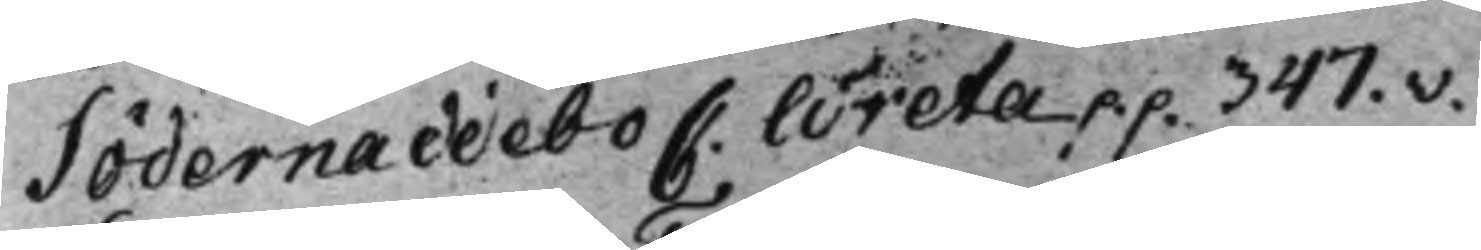Södernaddebo C. Wreta p.p. 347.v.
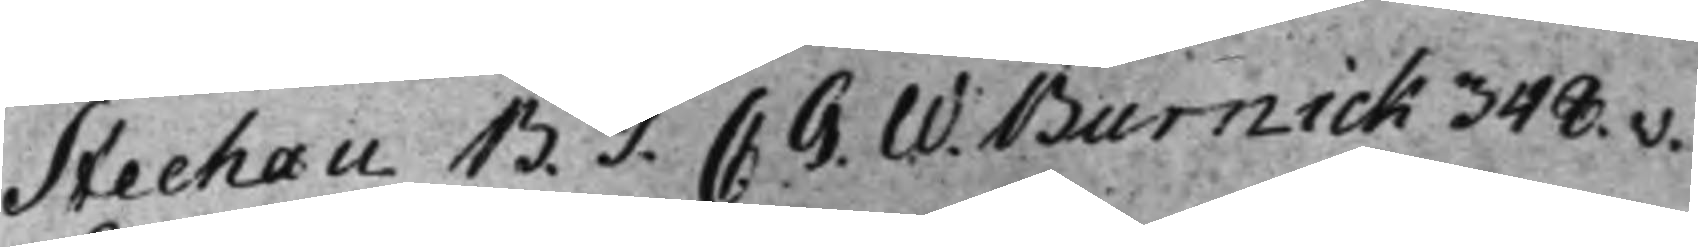Stechau B. T. C. G. W. Burnick 348.v.
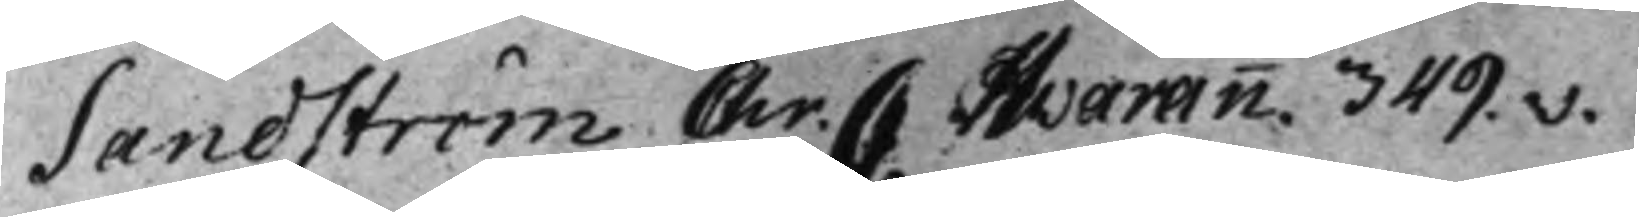Sandström. Chr: C. Hvarann. 349.v.
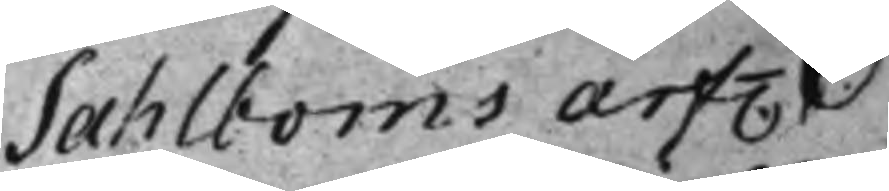Sahlboms arf.
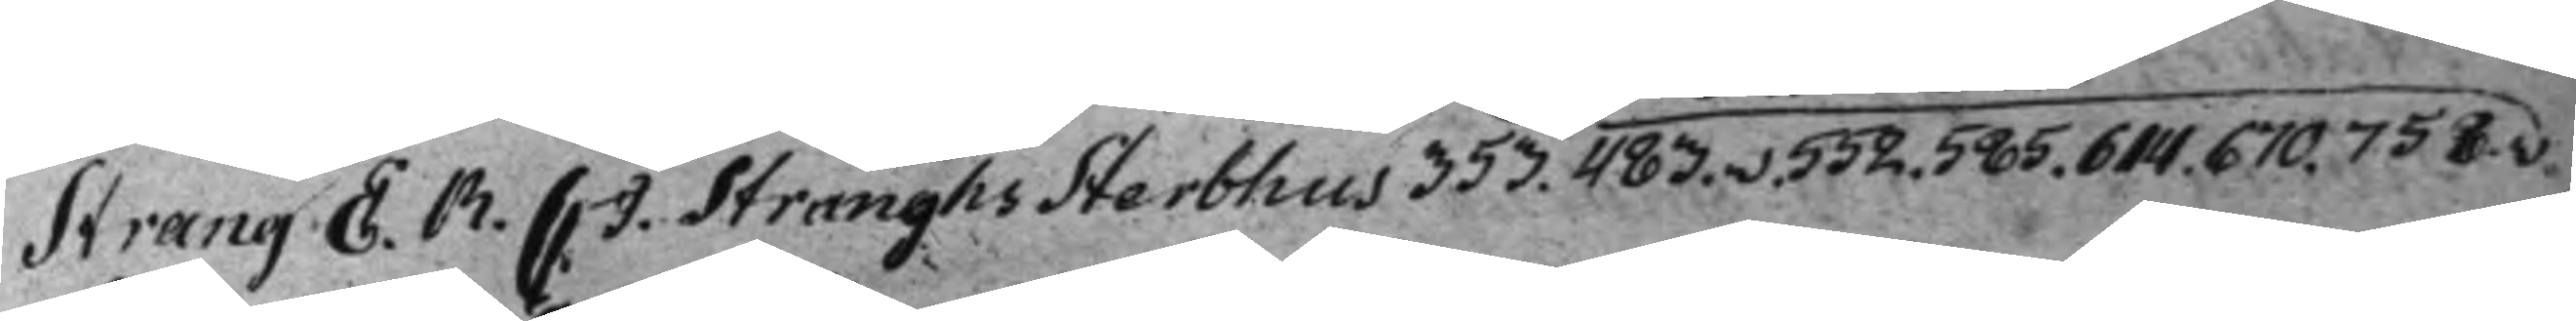Strang E. R. C. J. Stranghs Sterbhus 353. 483.v. 552. 585. 614. 670. 758.v.
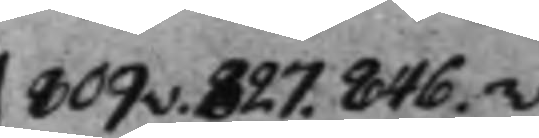809v. 827. 846.v.
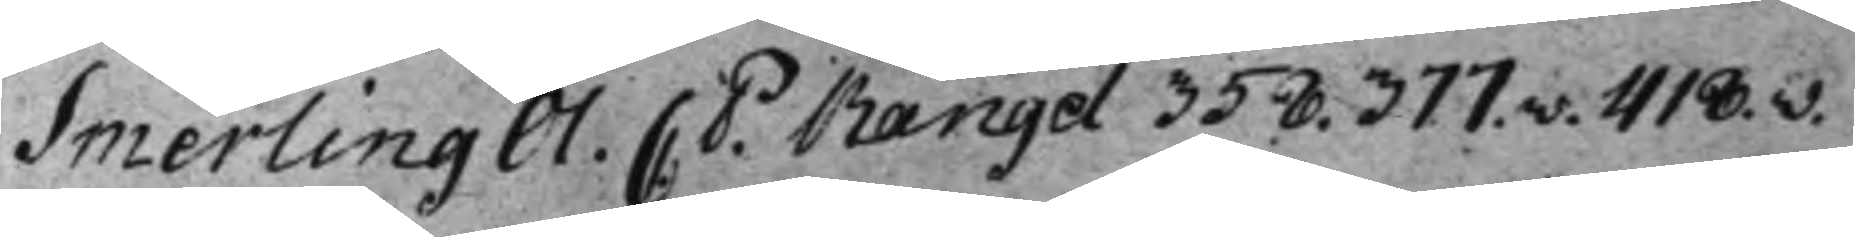Smerling Ol. C: P: Rangel 358. 377.v. 418.v.
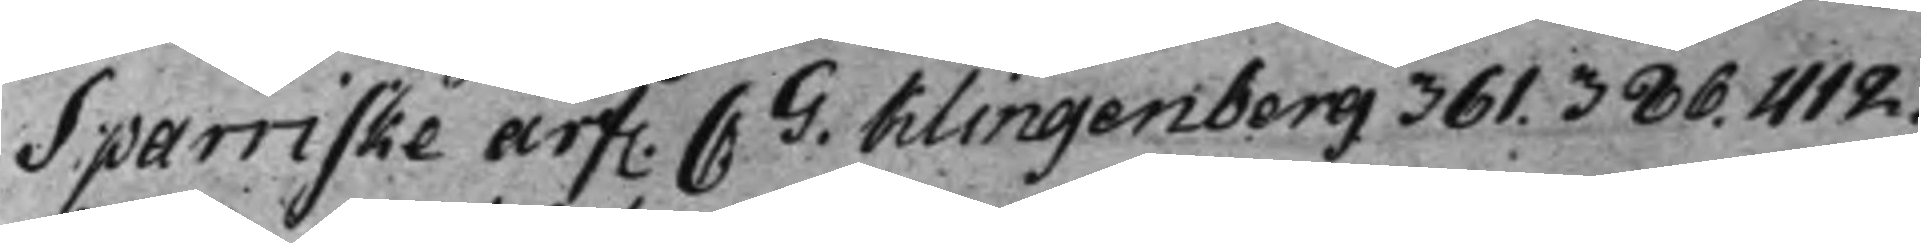Sparriske arf. C: G: Klingenberg 361. 386. 412.
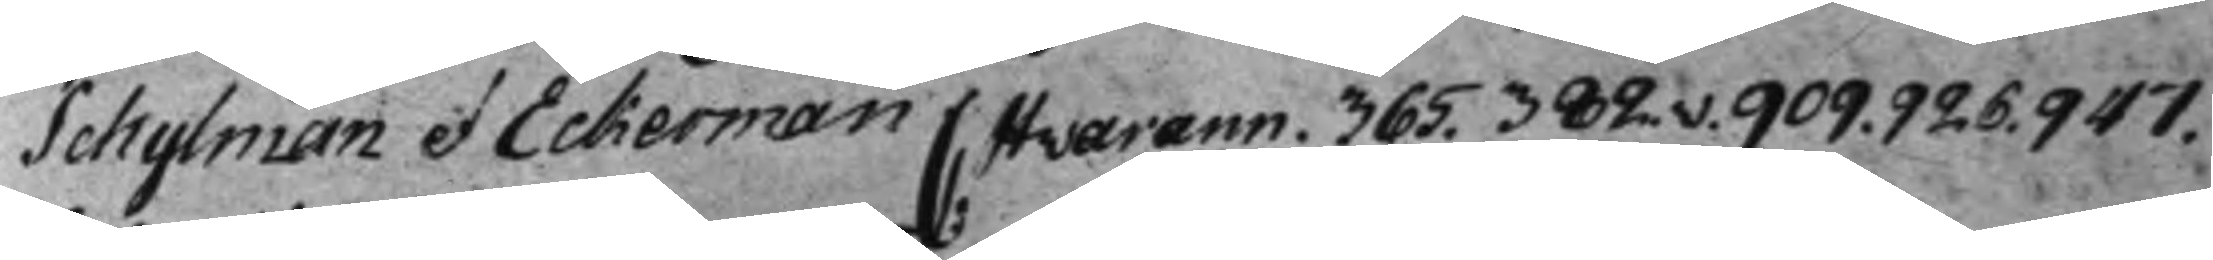Schylman et Eckerman C: Hvarann. 365. 382.v. 909. 926. 947.
